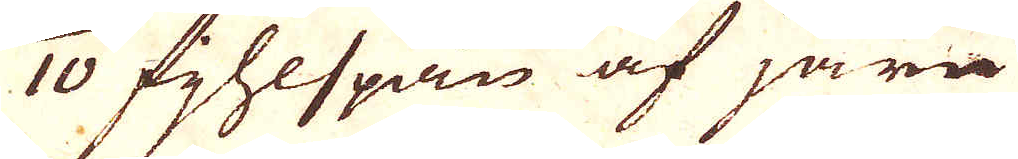1/10 fjhlspån af järn
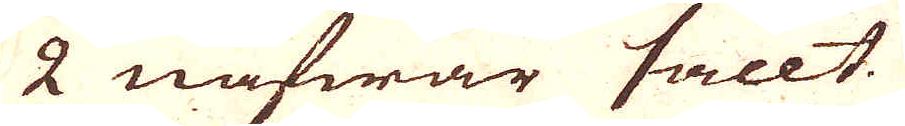2 näfwar sallt.
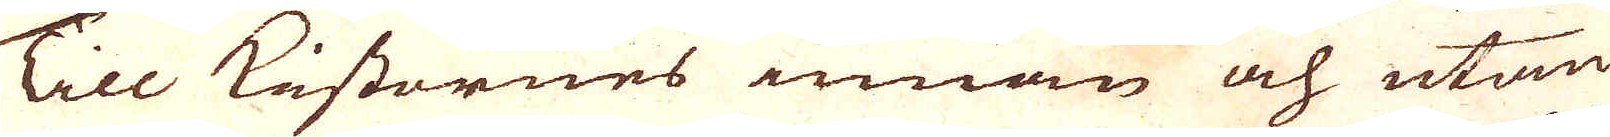Till Kistornes innan och utan
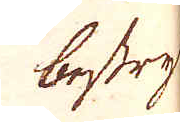bestry
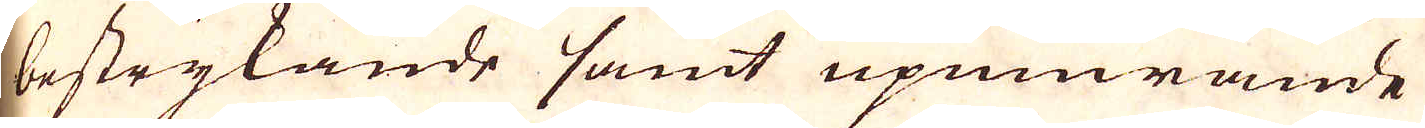bestrykande samt upmurande
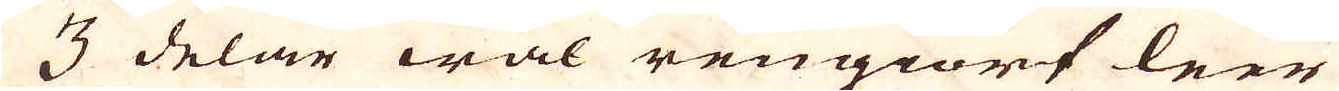3 delar wäl rengiort leer
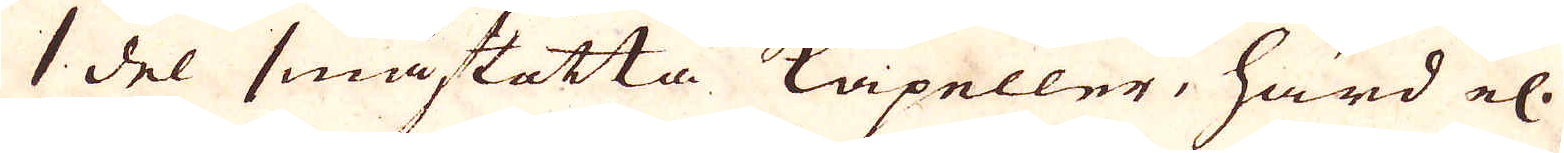1 del småstötta Kapeller, härd el.
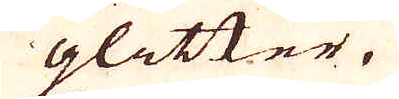glitter.
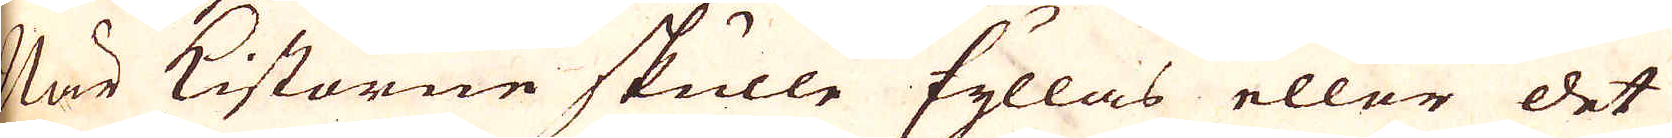När Kistorne skulle fyllas eller det
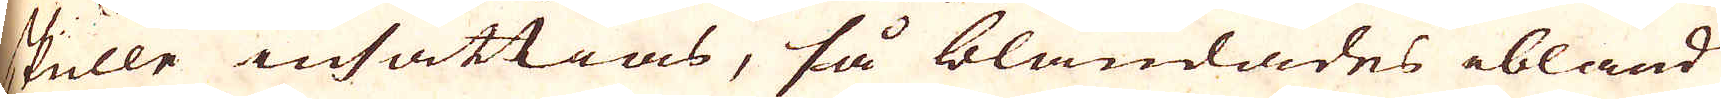skulle insättias, så blandades ibland
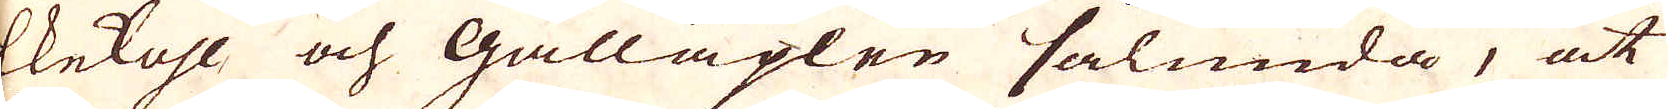Ekekohl och Galläplen sålunda, at
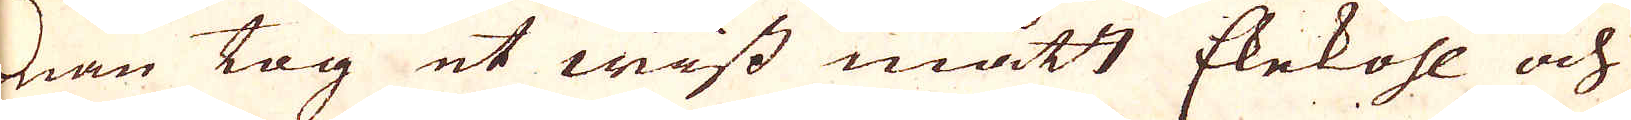man tog et wist mått Ekekohl och
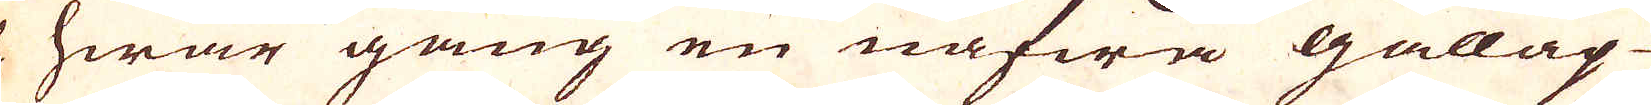och hwar gång en näfwa galläp-
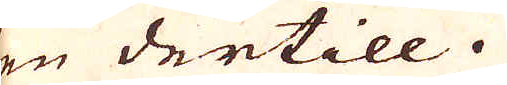len dertill.
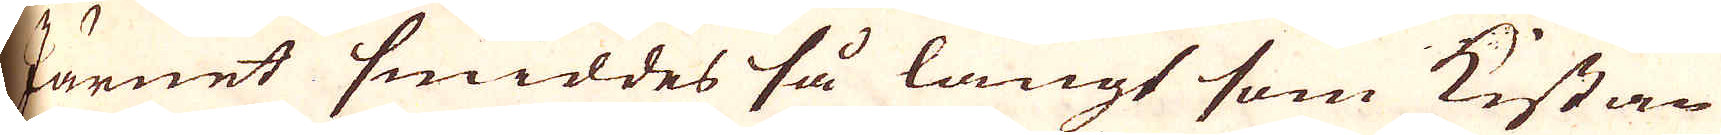Järnet smiddes så långt som kistan
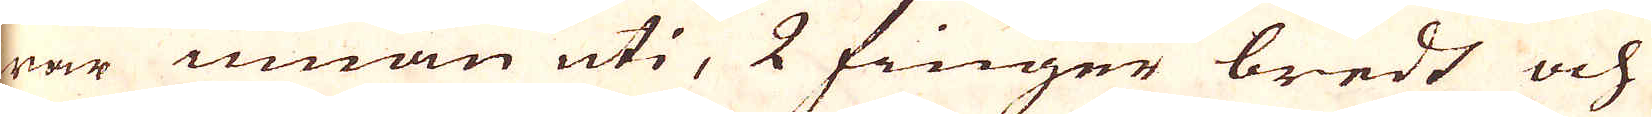war innan uti, 2 finger bredt och
